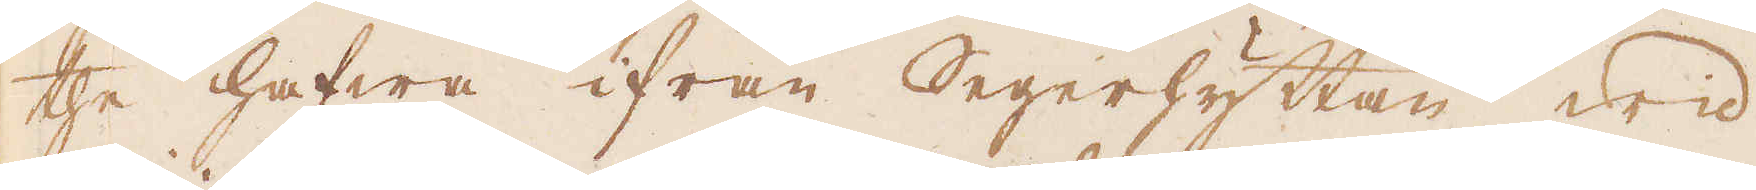the hafwa ifrån Segerhyttan wid
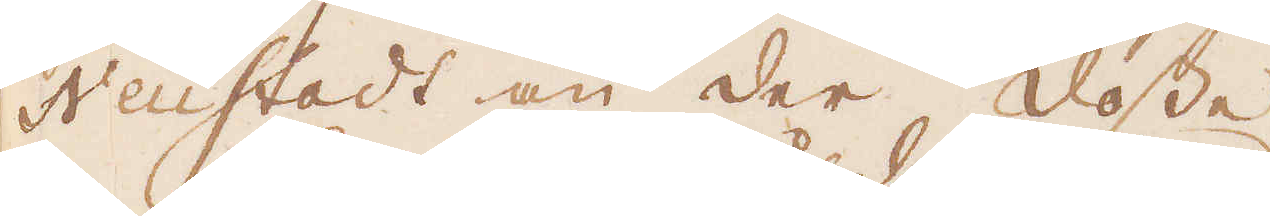Neüstadt an der dosse.
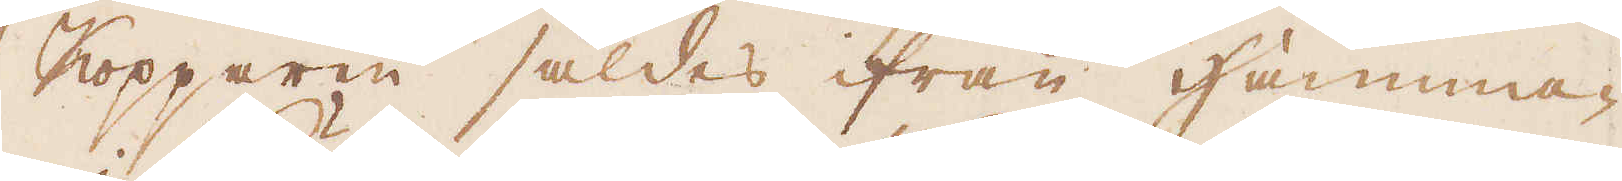Kopparen såldes ifrån Hamma-
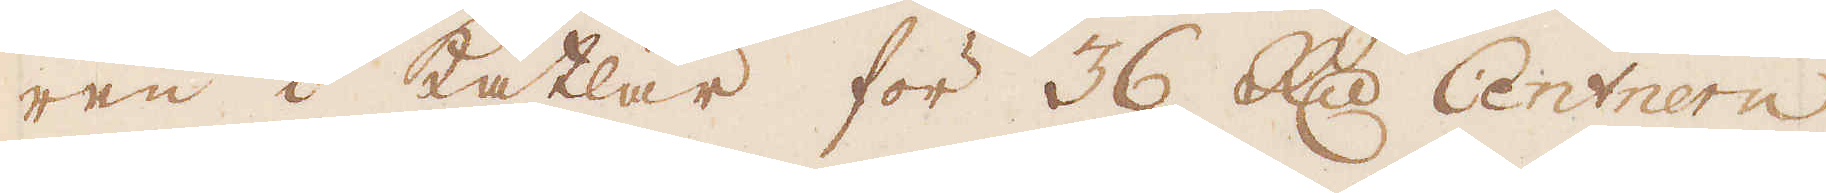ren i Kätlar för 36 R:dr Centrern
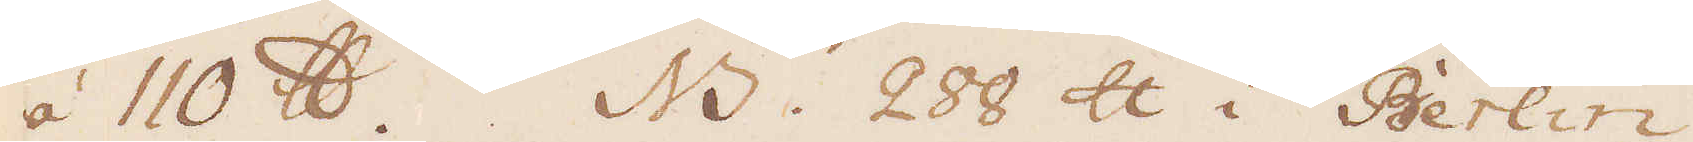à 110 skålpund. NB. 288 skålpund i Berlin
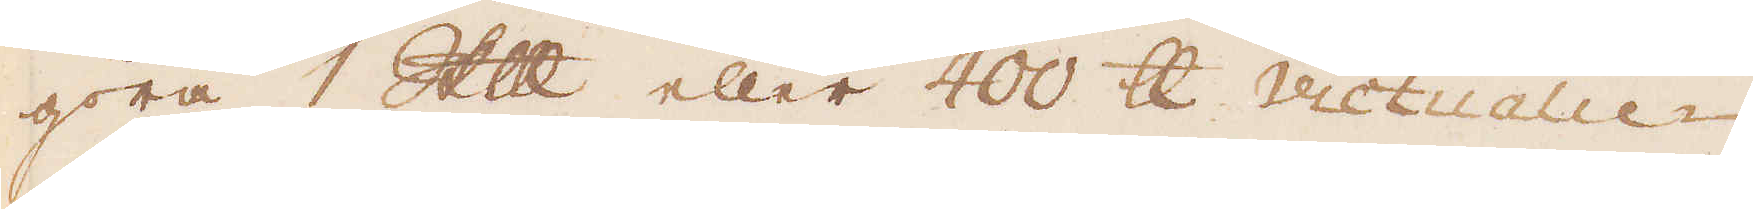göra 1 Skålpund eller 400 skålpund Victualie-
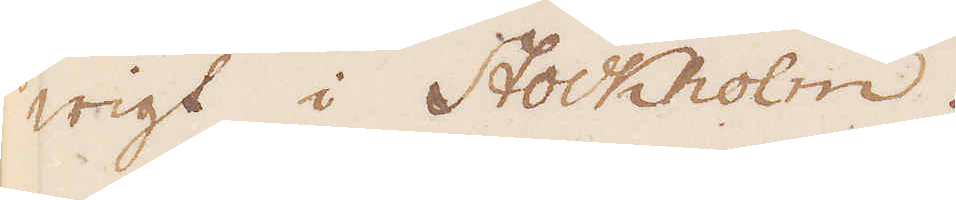wigt i Stockholm.
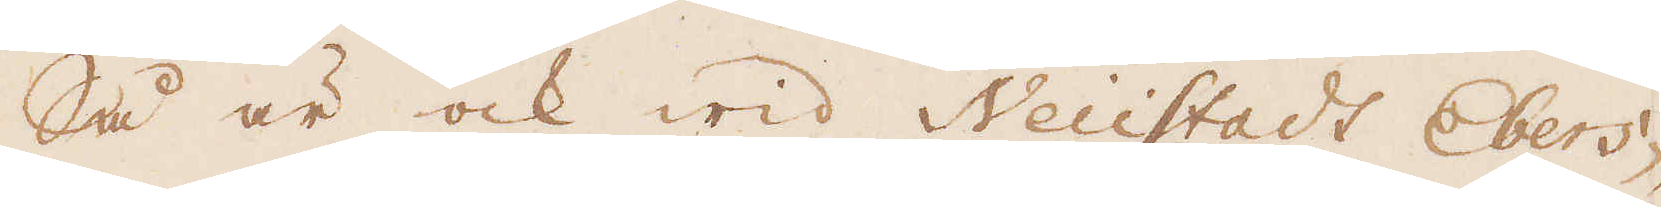Så är ock wid Neüstadt Ebers-
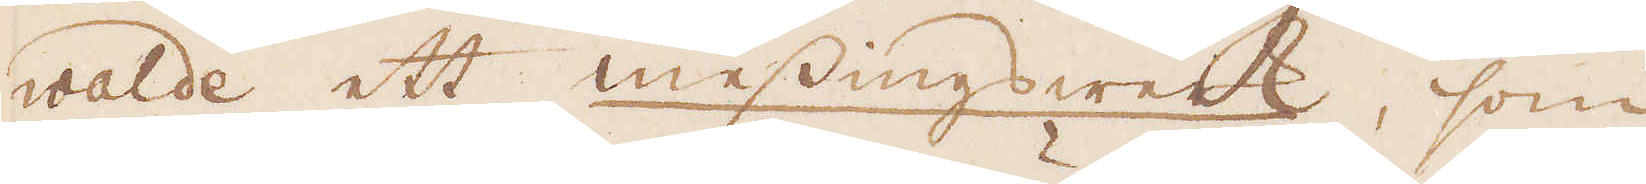walde ett messingsweck, som
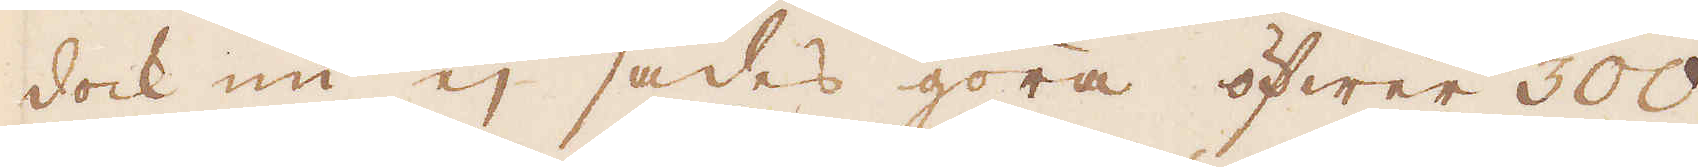dock nu ej sades göra öfwer 300
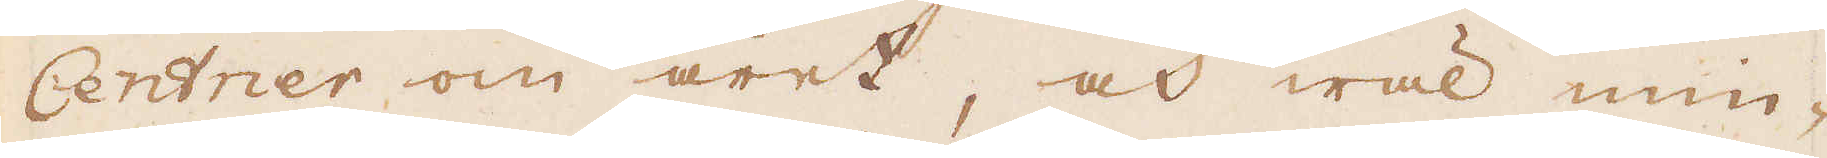Centner om året, och wäl min-
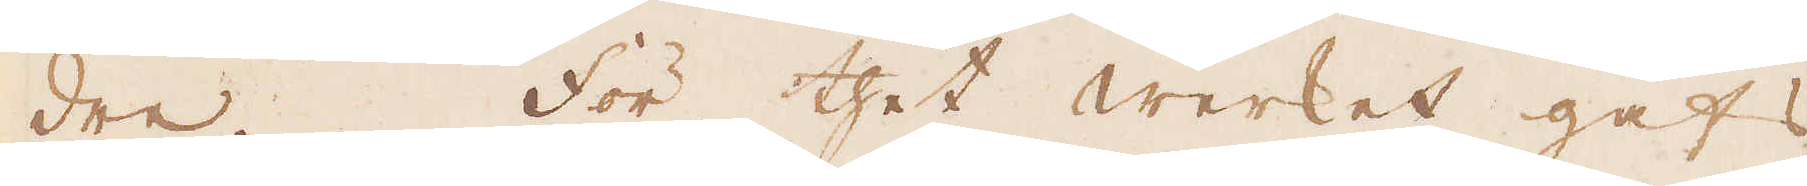dre. För thet werket gafs
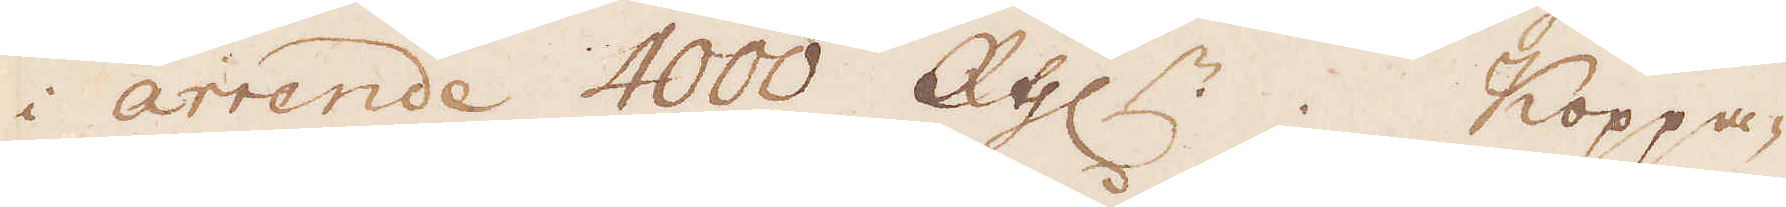i arrende 4000 R:thlr. Koppa-
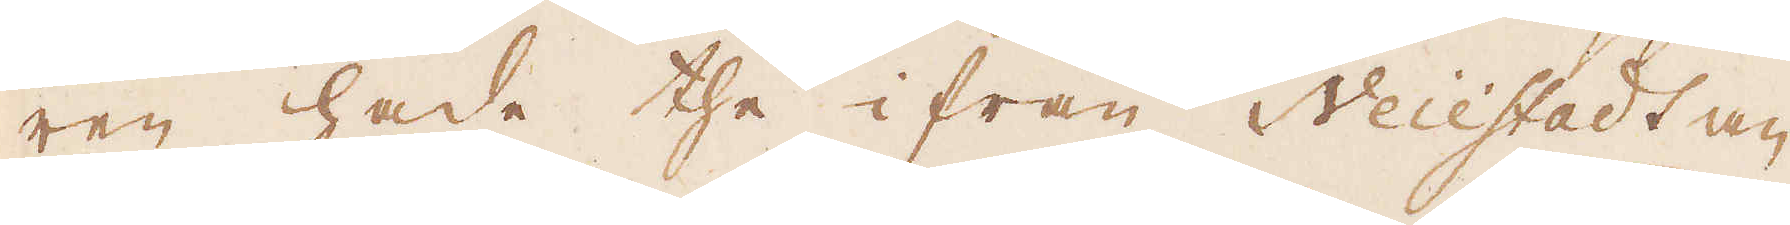ren hade the ifrån Neüestadt an
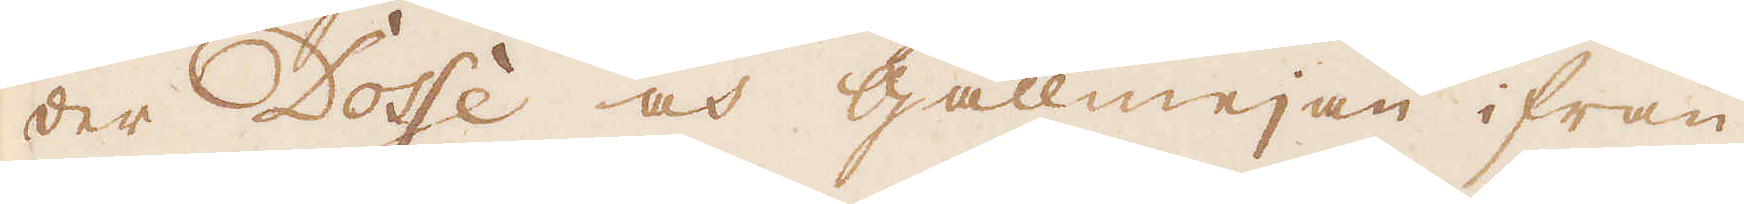der Dosse och Gallmejan ifrån
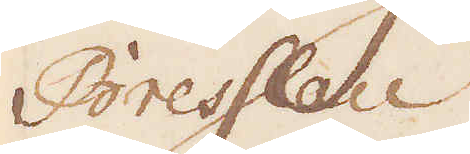Bresslau.
